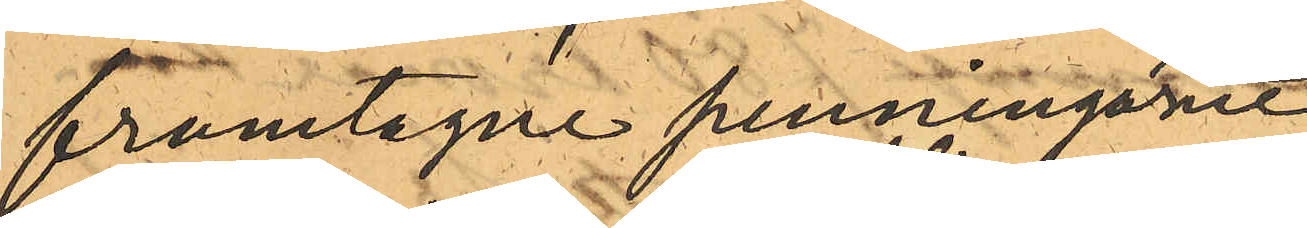framtagne penningarne
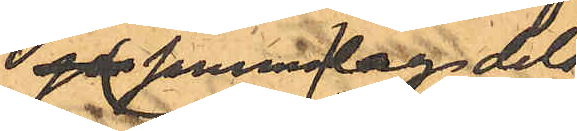sen samma dag dels
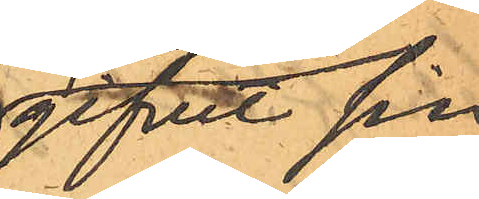gifvit sin
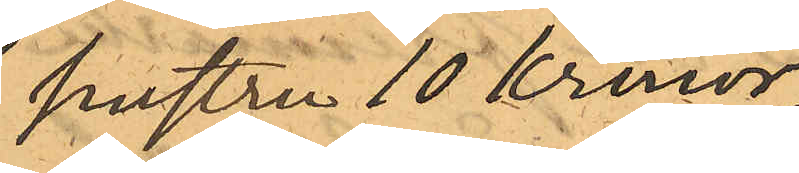hustru 10 Kronor,
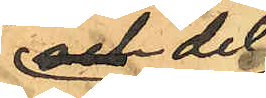och dels
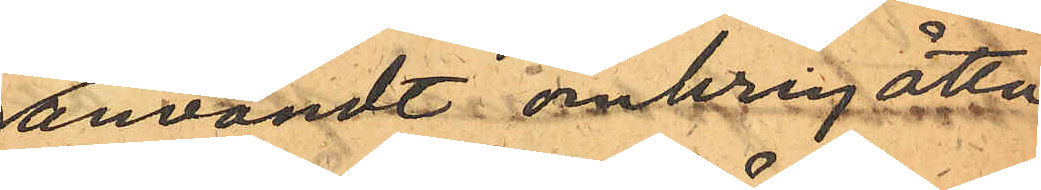användt omkring åtta
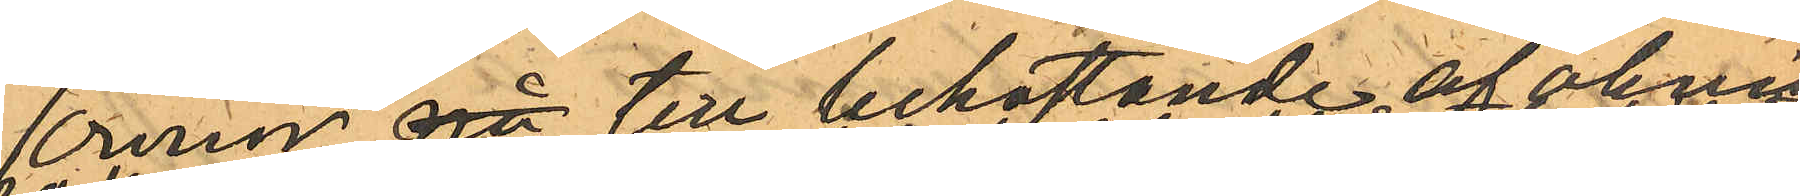Kronor på till bekostande af åkning
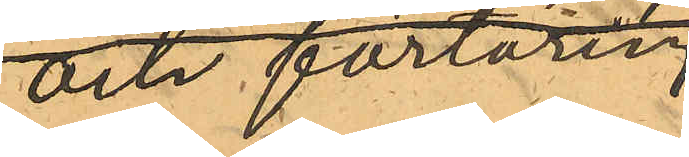och förtäring;
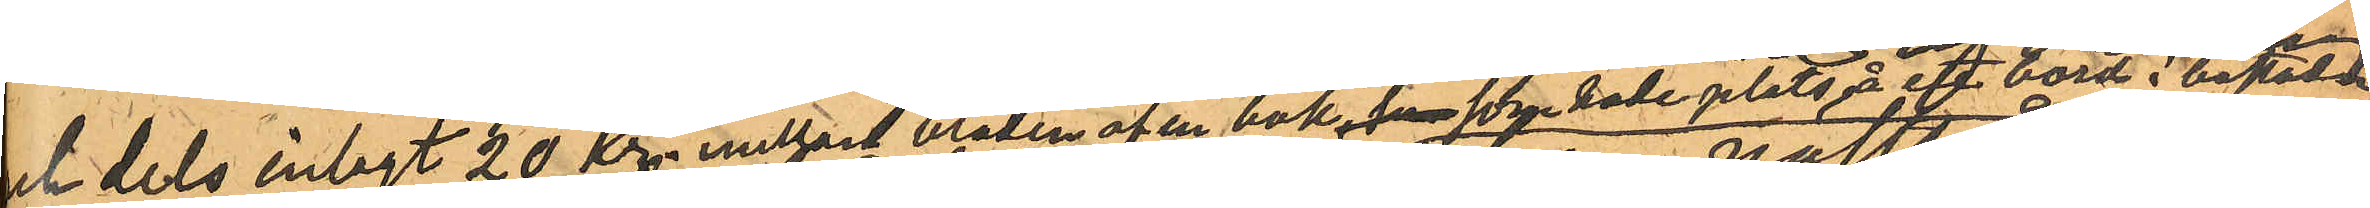och dels inlagt 20 Kr. mellan bladen af en bok, han som hade plats å ett bord i bostaden
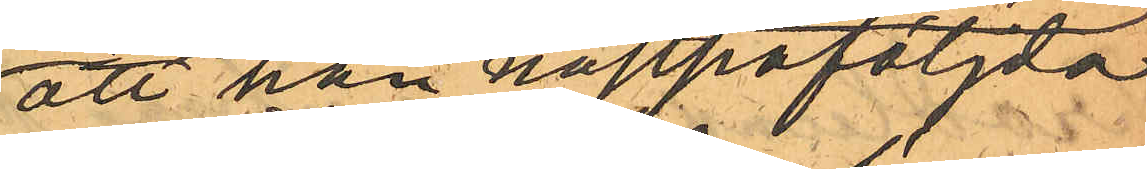; att han nästpåföljda
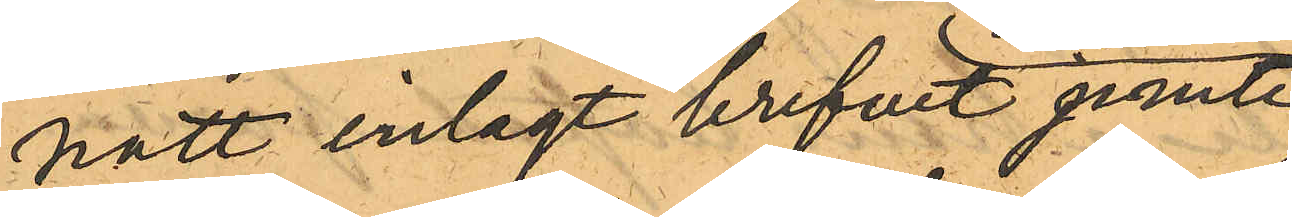natt inlagt brefvet jemte
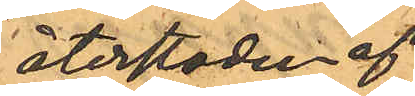återstoden af
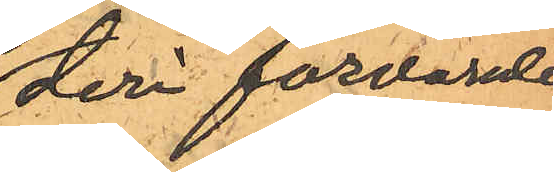deri förvarade
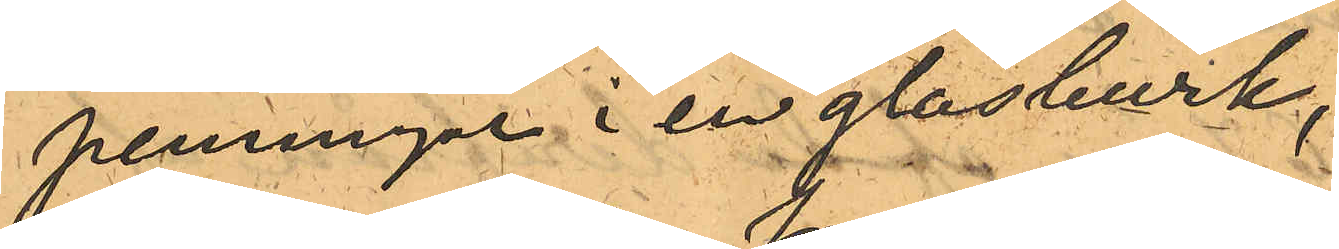penningar i en glasburk,
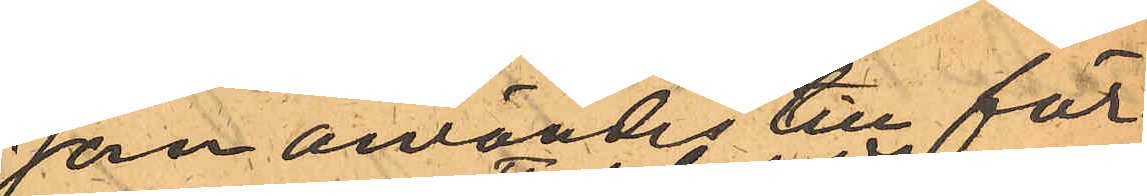som användes till för¬
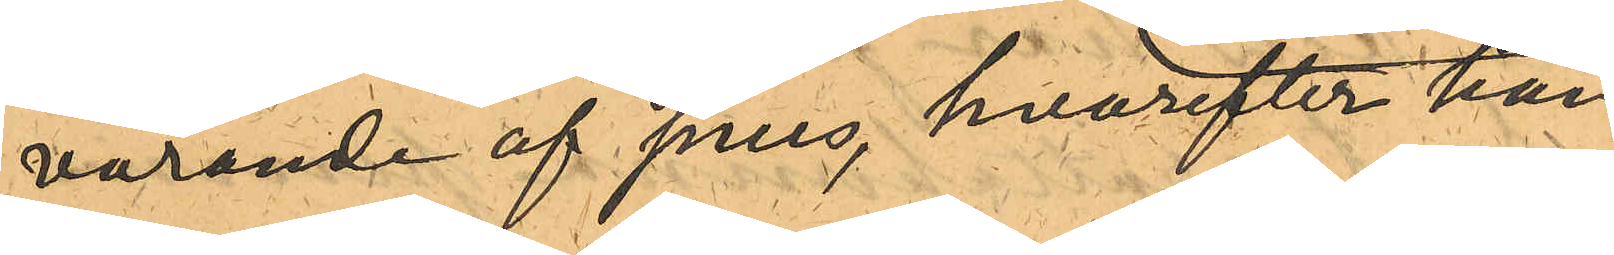varande af snus, hvarefter han
